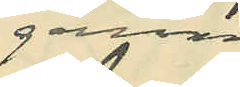genom
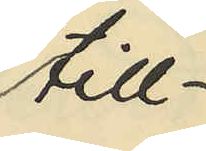till¬
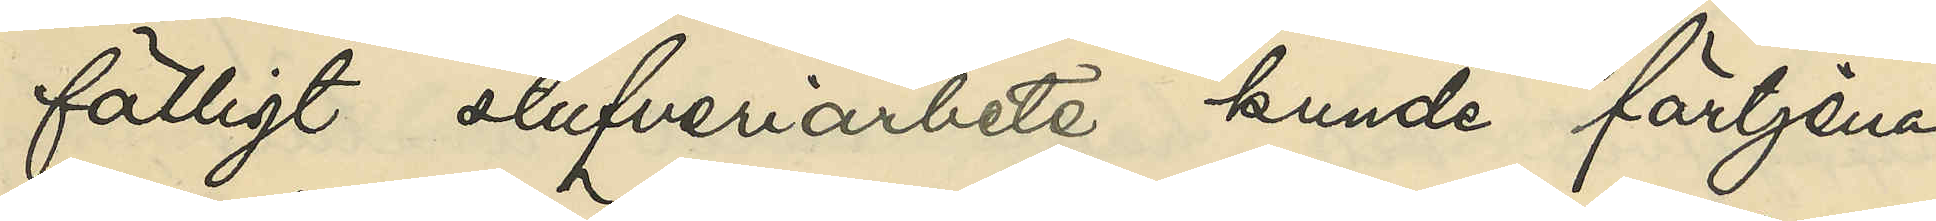fälligt stufveriarbete kunde förtjena,
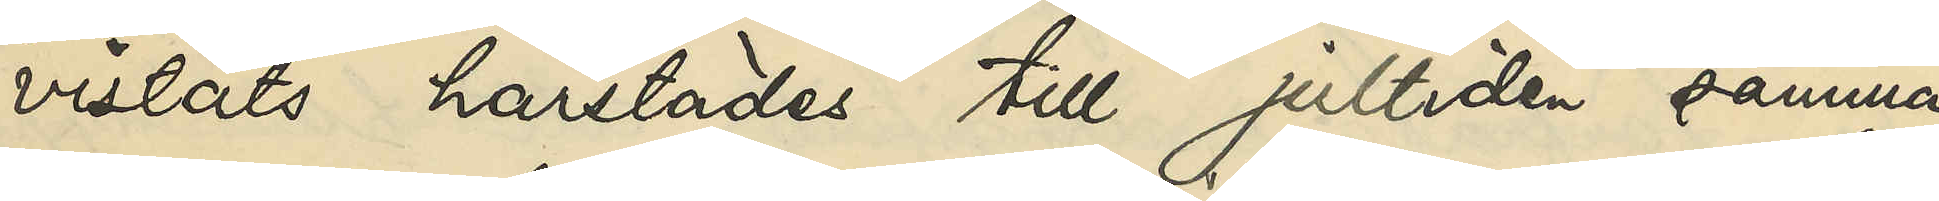vistats härstädes till jultiden samma
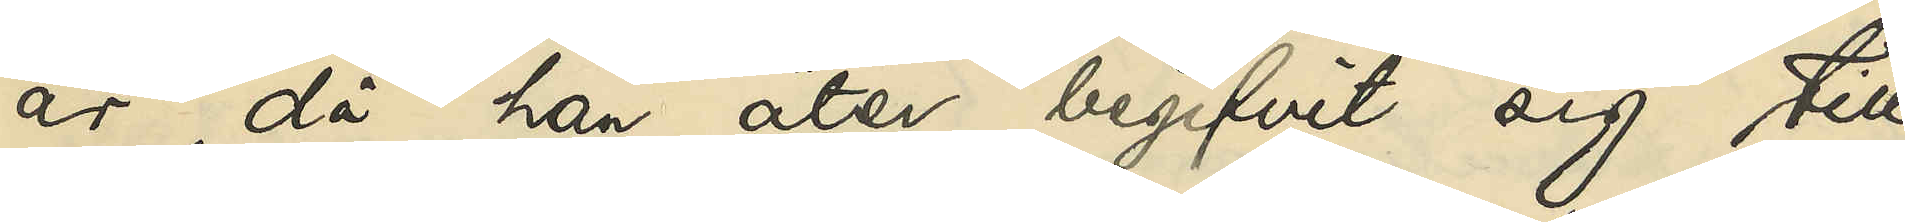år, då han åter begifvit sig till
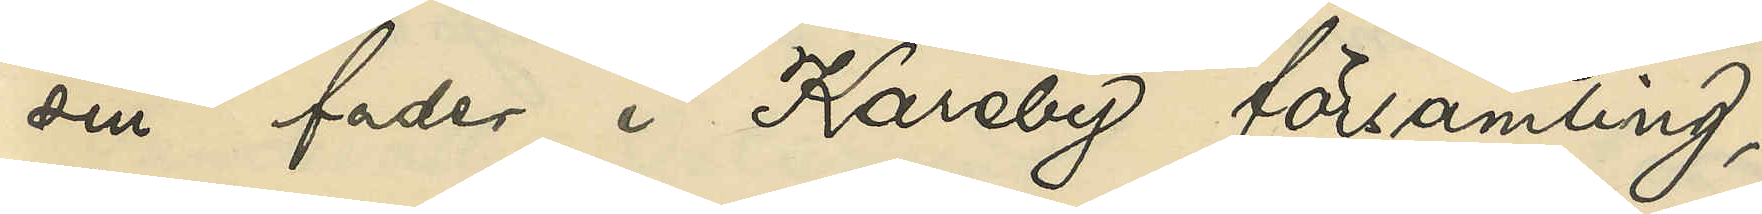sin fader i Kareby församling,
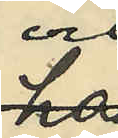och
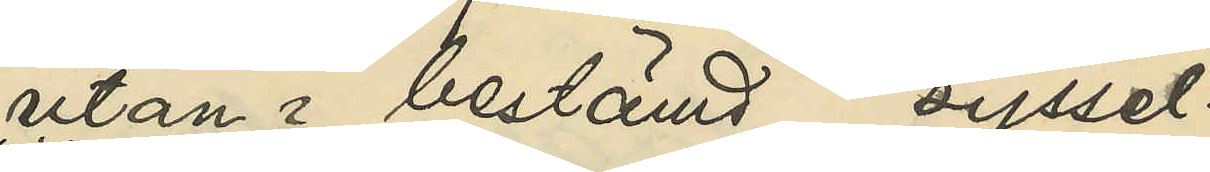utan bestämd syssel¬
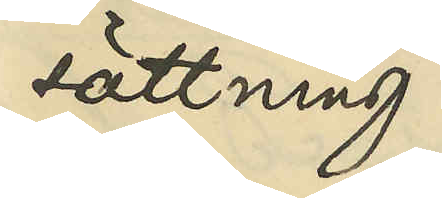sättning
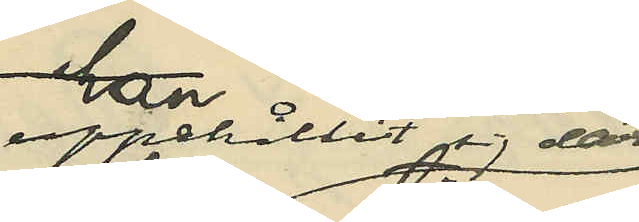uppehållit sig där
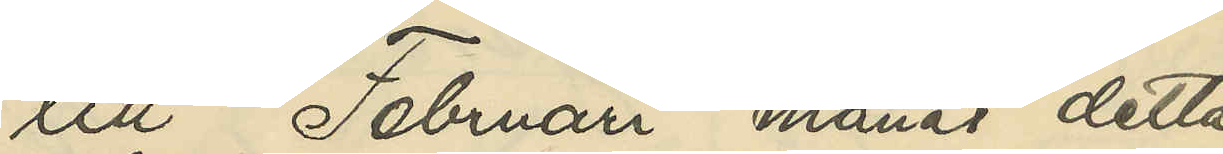till Februari månad detta
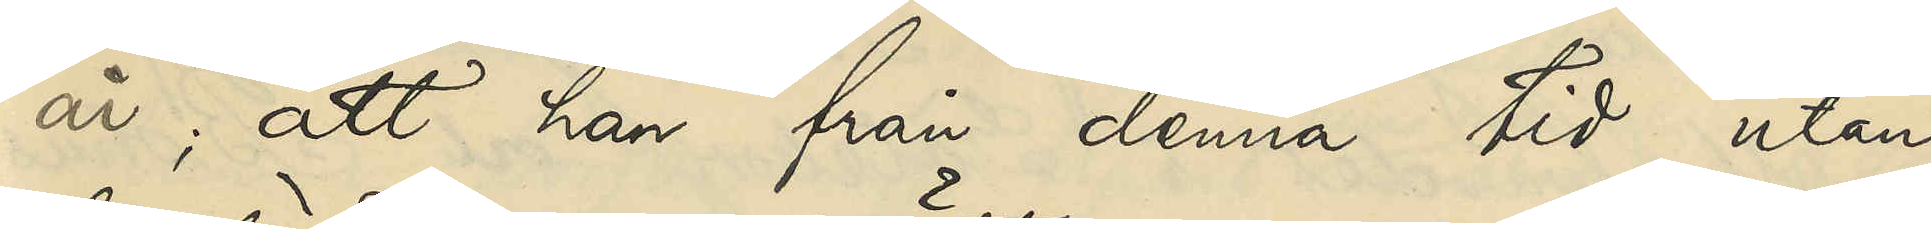år; att han från denna tid utan
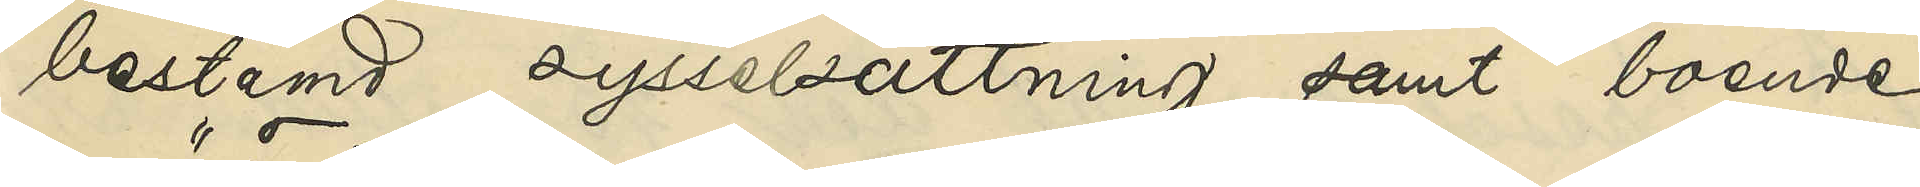bestämd sysselsättning samt boende
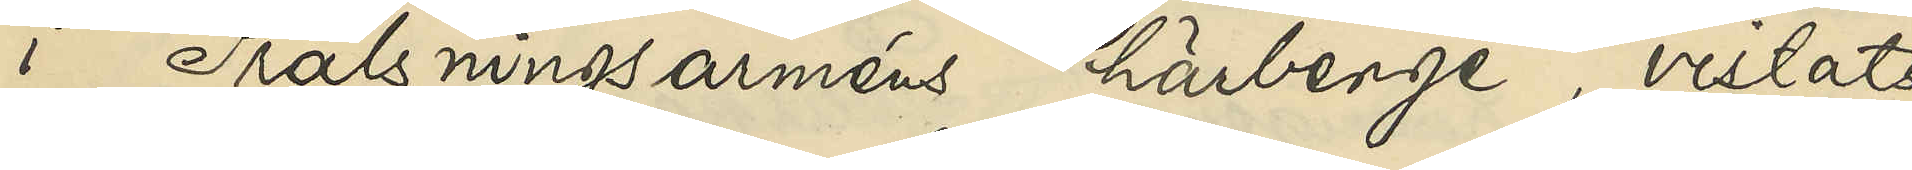i "Frälsningsarméns" härberge, vistats
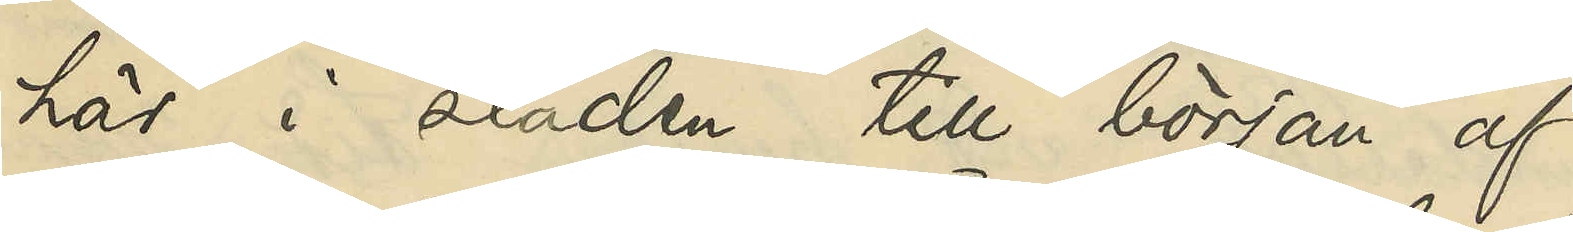här i staden till början af
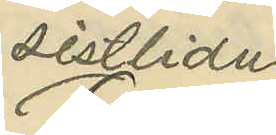sistlidne
